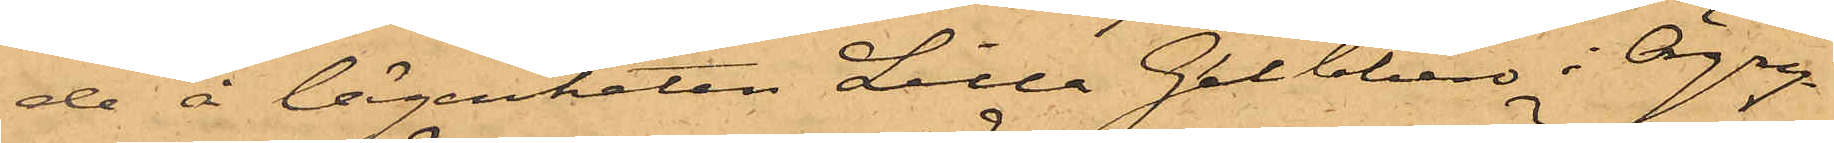de å lägenheten Lilla Gubbero i Örgry¬
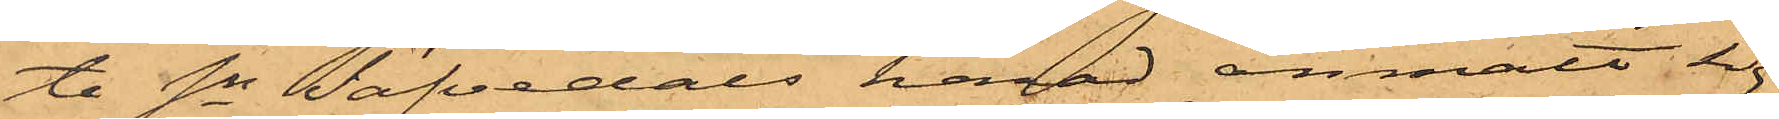te Sn Säfvedals härad anmält sig
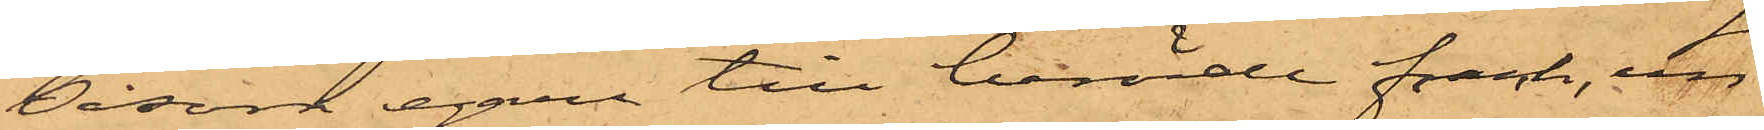såsom egare till berörde frack, un¬
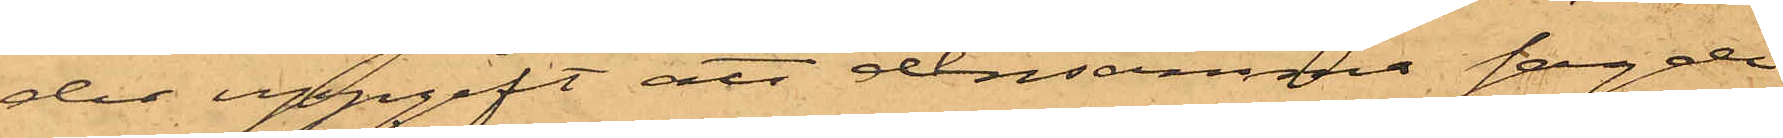der uppgift att densamma sagde
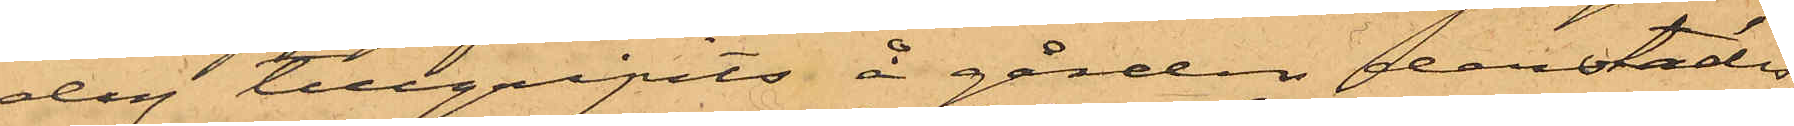dag tillgripits å gården derstädes,
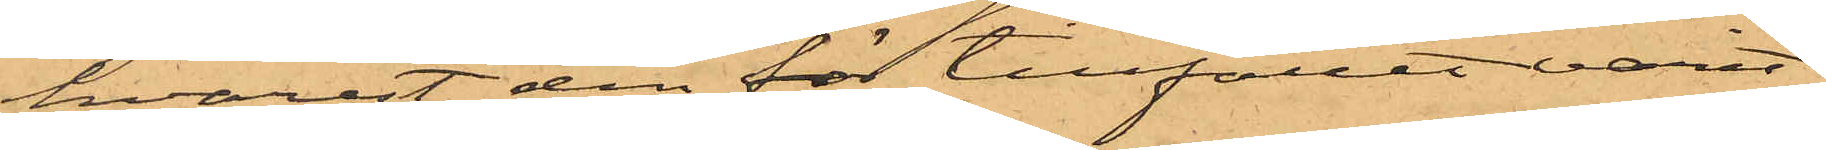hvarest den för tillfället varit
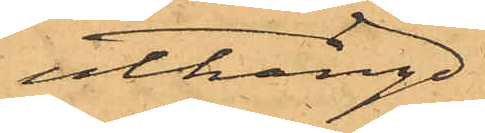uthängd.
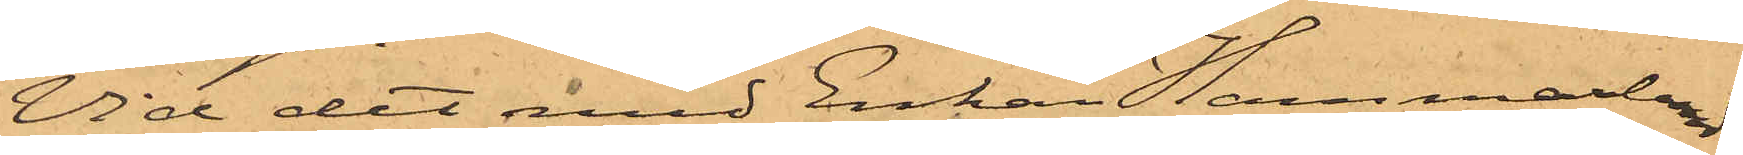Vid det med Enkan Hammarlund
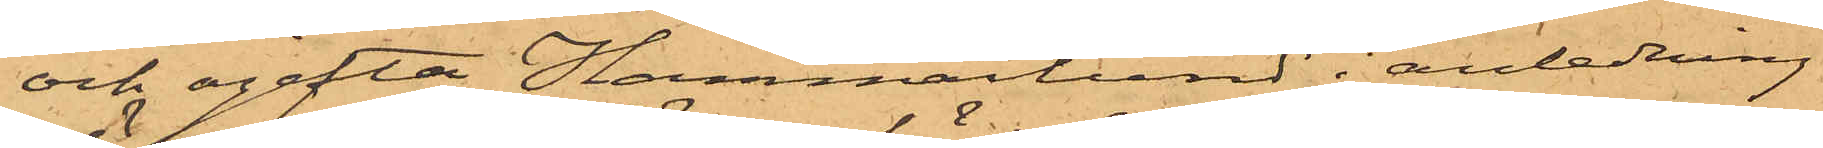och ogifta Hammarlund i anledning
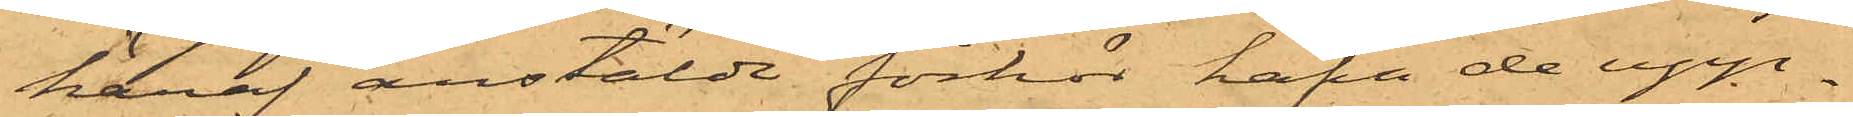häraf anstälde förhör hafva de upp¬
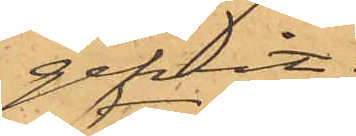gifvit:
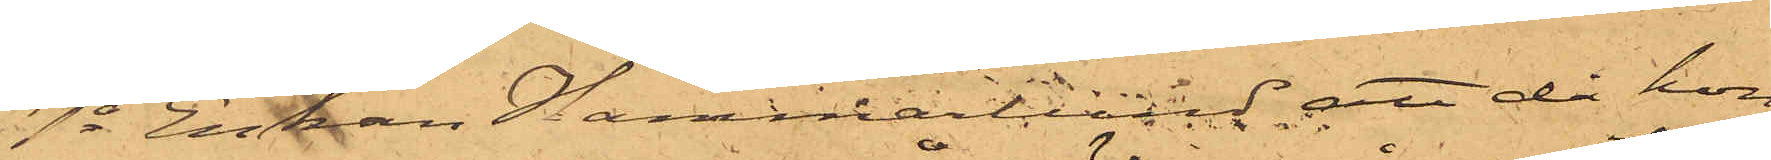1o Enkan Hammarlund; att då hon
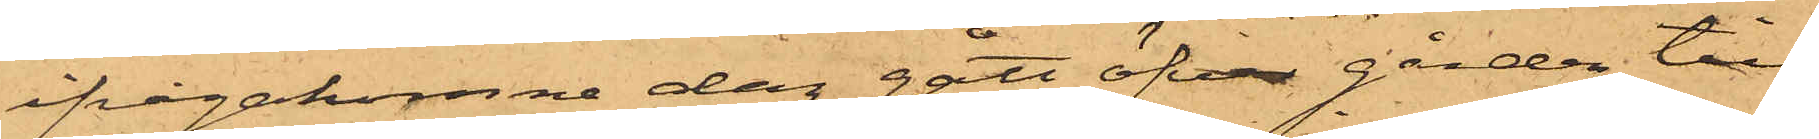ifrågakomne dag gått öfver gården till
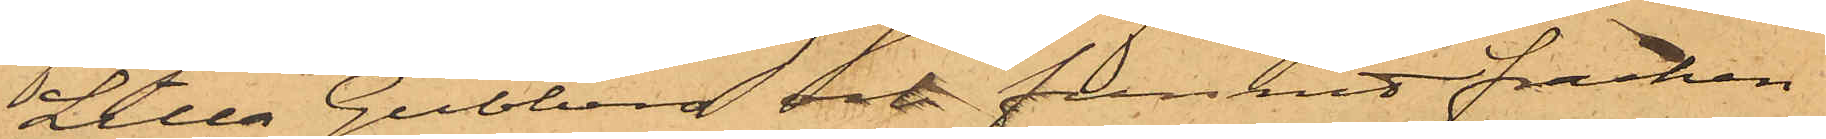Lilla Gubbero och funnit fracken
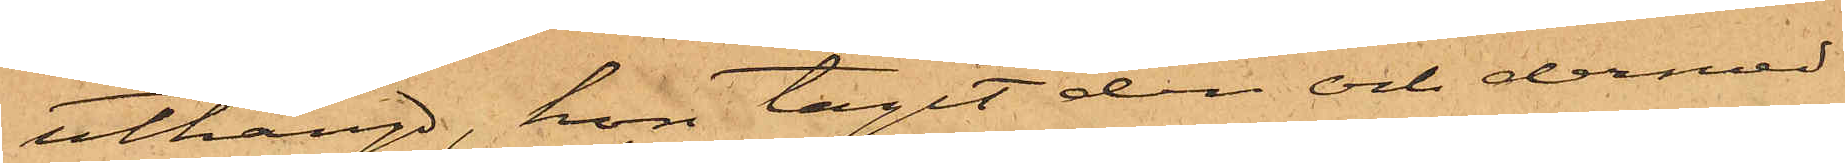uthängd, hon tagit den och dermed
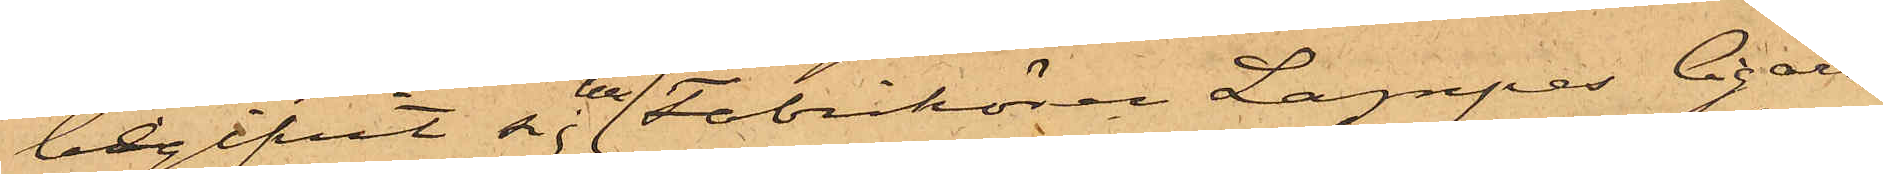begifvit sig till Fabrikören Lampes Cigarr¬
